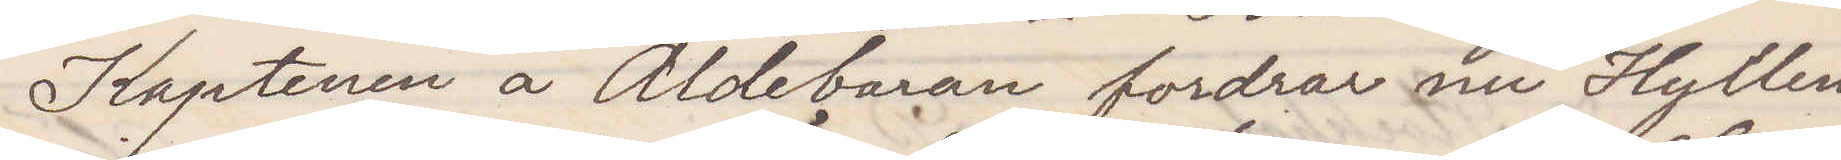Kaptenen å Aldebaran fordrar nu Hyllen¬
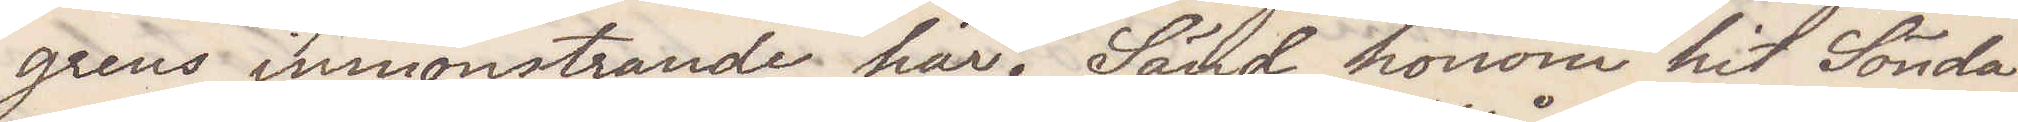grens inmönstrande här. Sänd honom hit Sönda¬
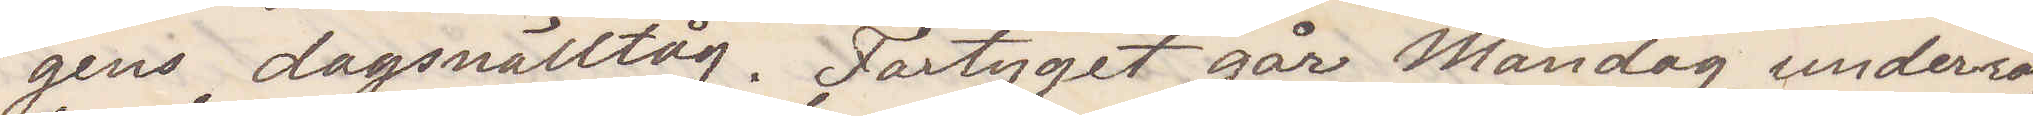gens dagsnälltåg. Fartyget går Måndag underrät¬
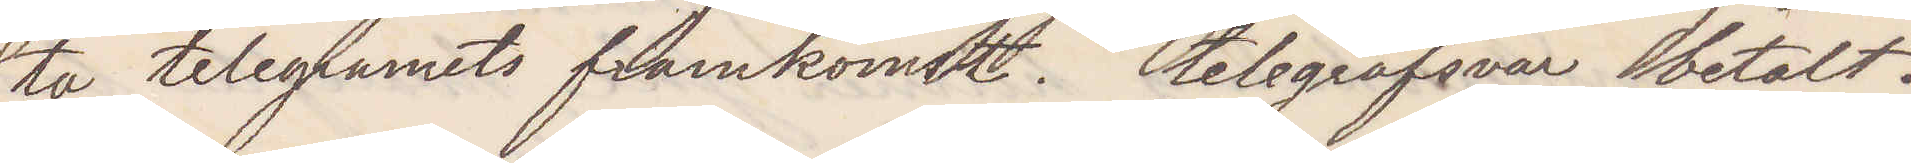ta telegramets framkomst. telegrafsvar betalt.
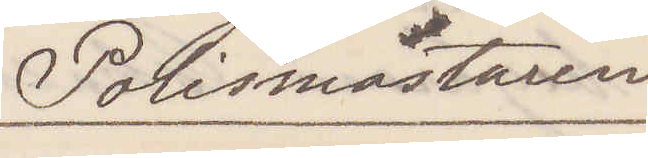Polismästaren
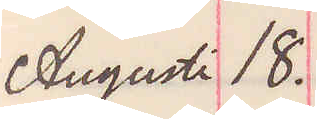Augusti 18.
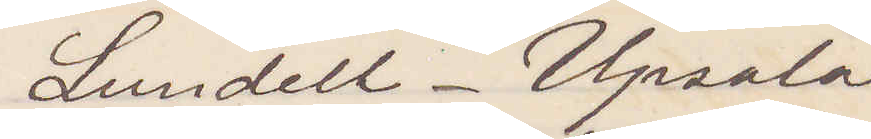Lundell. Upsala
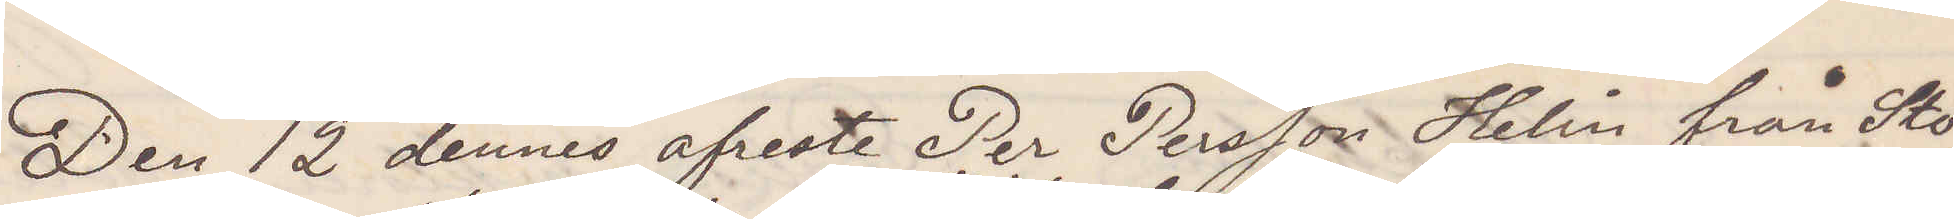Den 12 dennes afreste Per Persson Helin från Stö¬
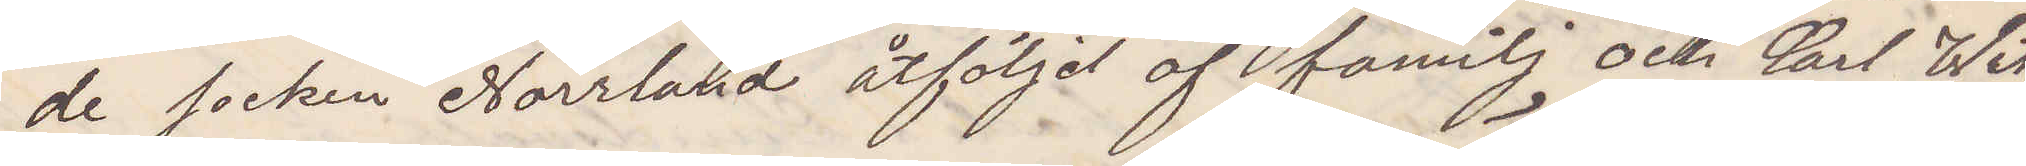de socken Norrland åtföljd af familj och Carl Wik¬
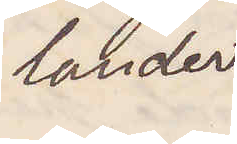lander
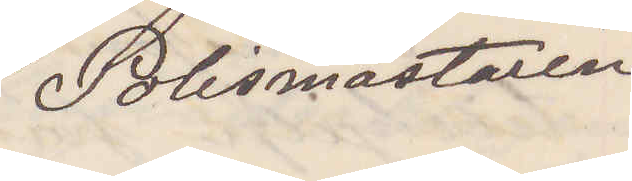Polismästaren
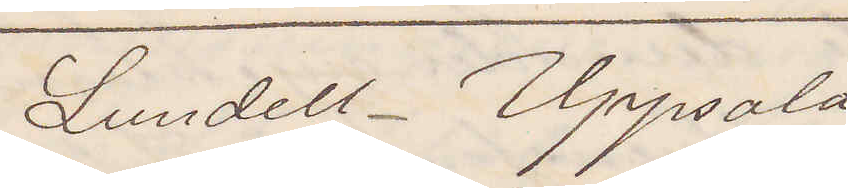Lundell. Uppsala
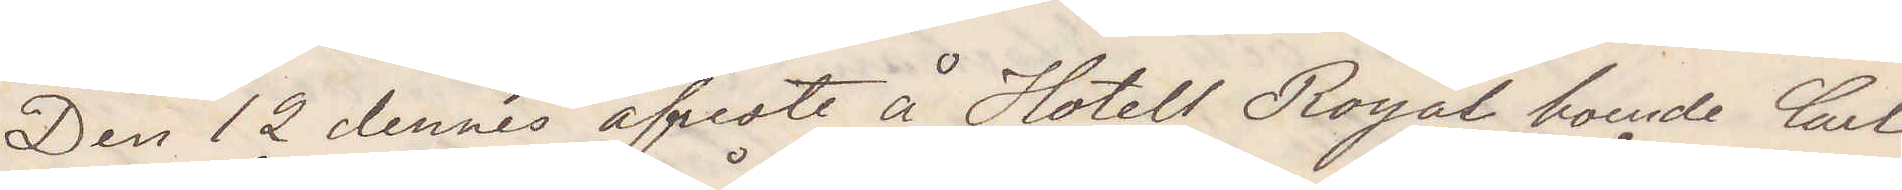Den 12 dennes afreste å Hotell Royal boende Carl
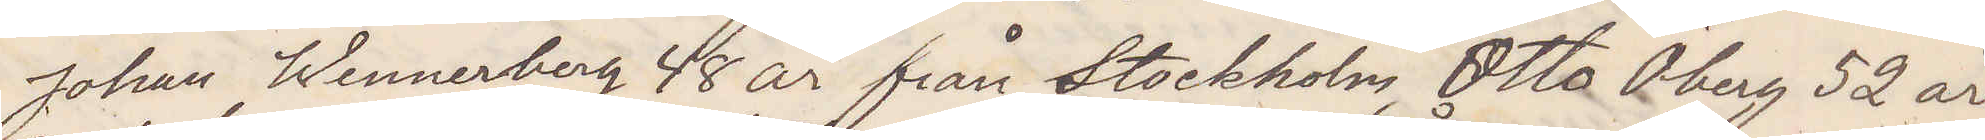Johan Wennerberg 48 år från Stockholm Otto Öberg 52 år
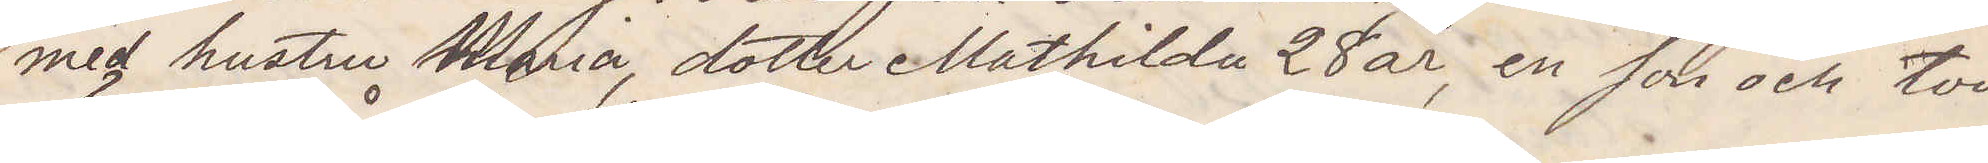med hustru Maria, dotter Mathilda 28 år, en son och två
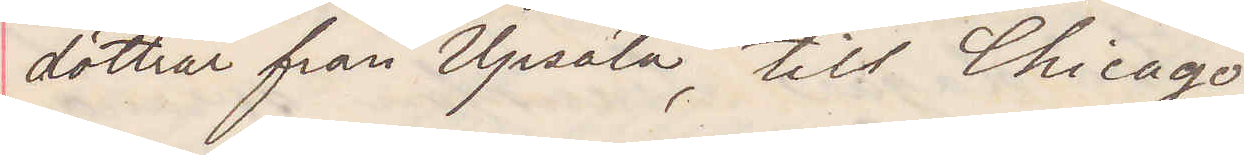döttrar från Upsala, till Chicago
